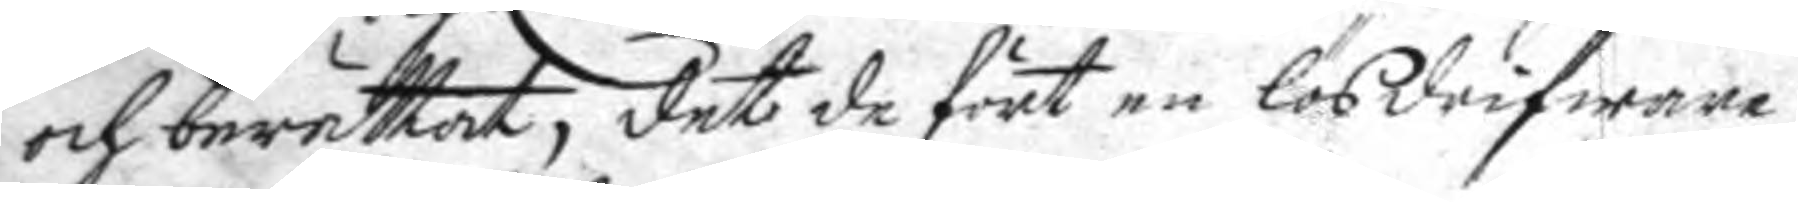och berättat, det de fört en lösdrifware
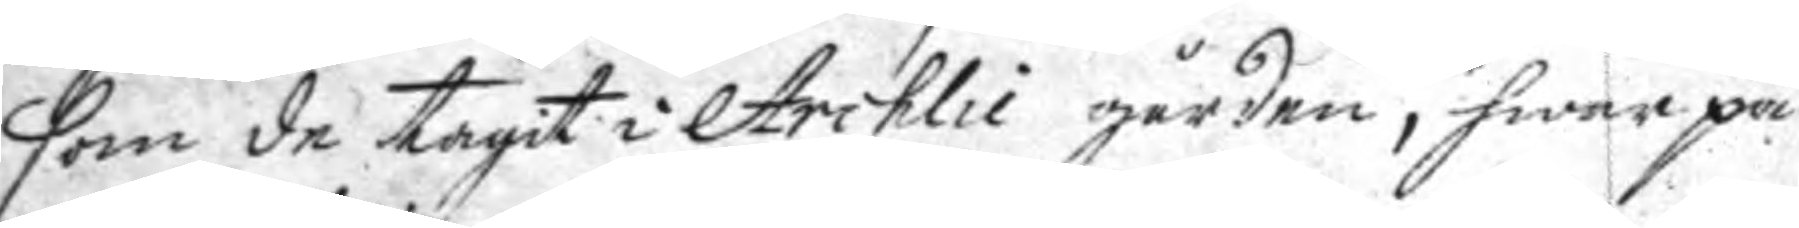som de tagit i Archlii gården, hwar på
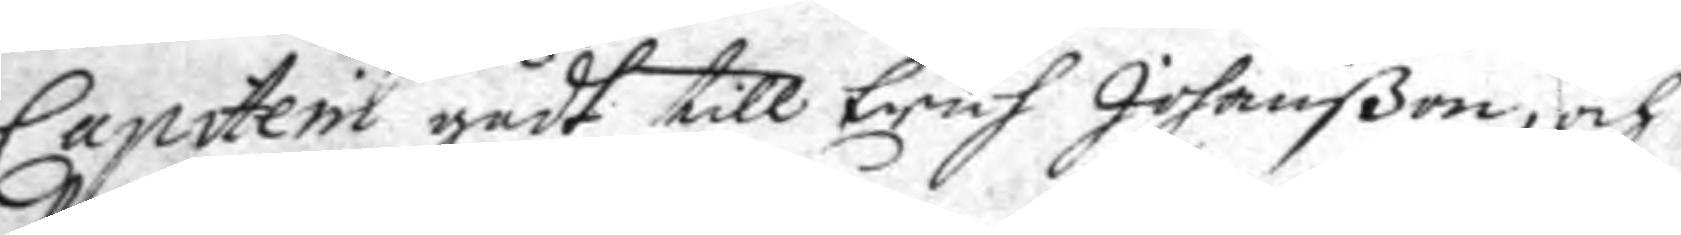Capiteni gådt till Erich Johanßon, och
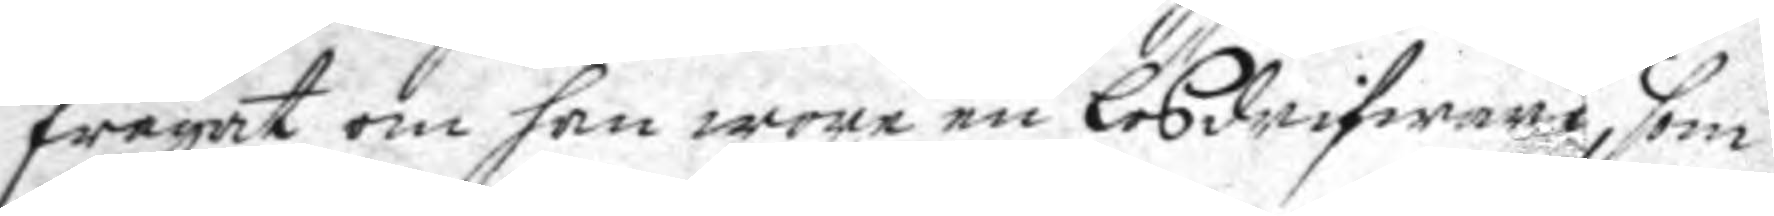frgat om han wore en lösdrifware, som
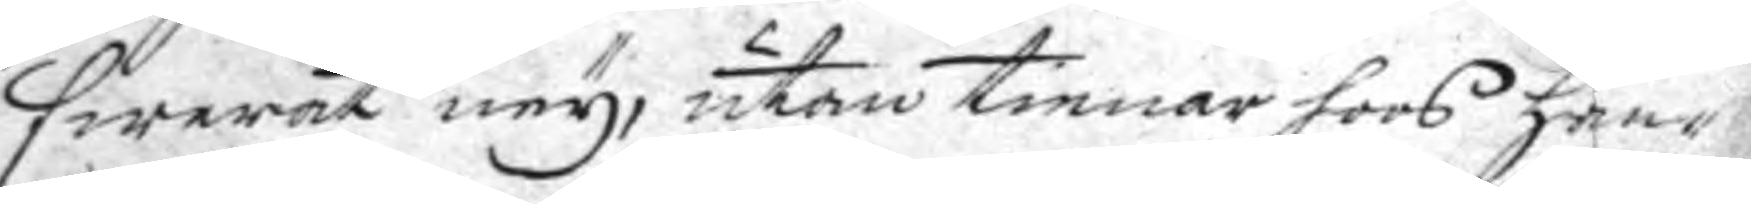swarat ney, utan tienar hoos han¬
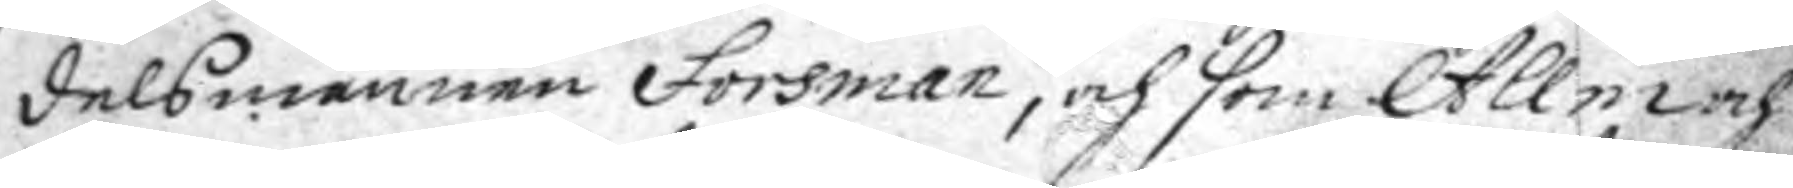delsmannen Forsman, och som Allm och
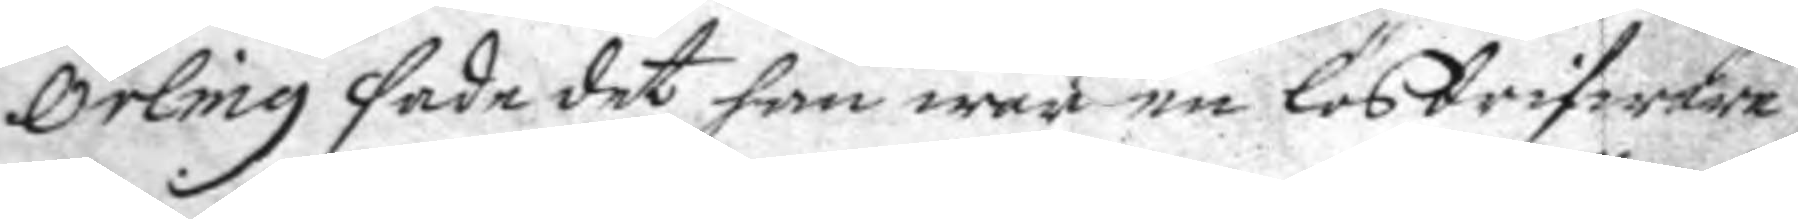Örling sade det han war en lösdrifware
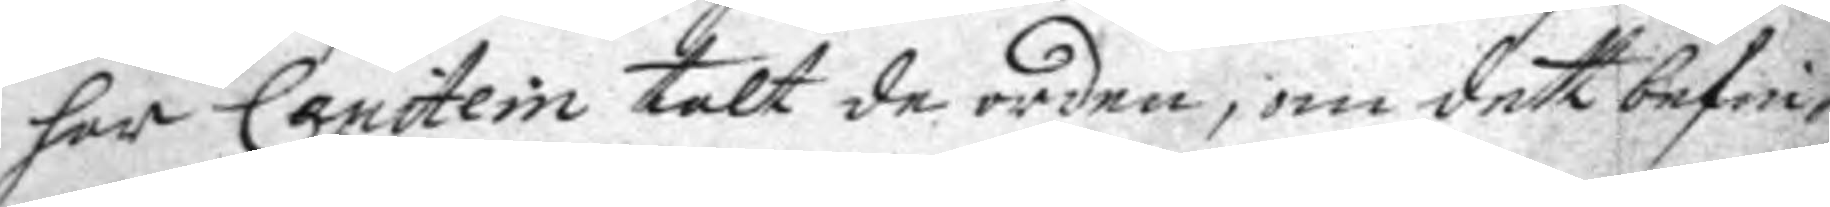har Capitein talt de orden, om dett befin¬
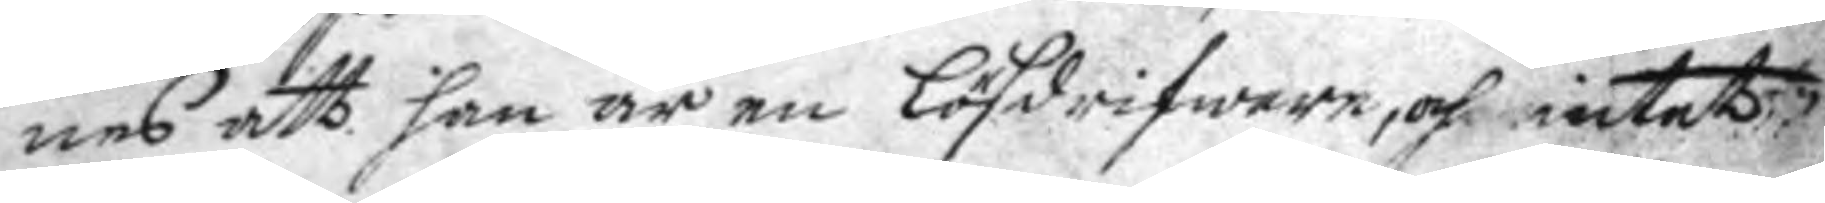nes att han är en Lösdrifware, och intet
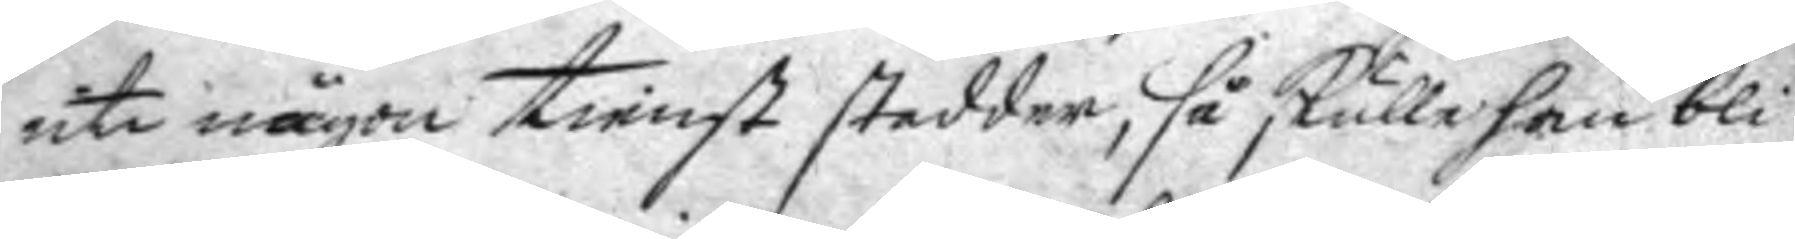uti någon tienst stadder, så skulle han bli
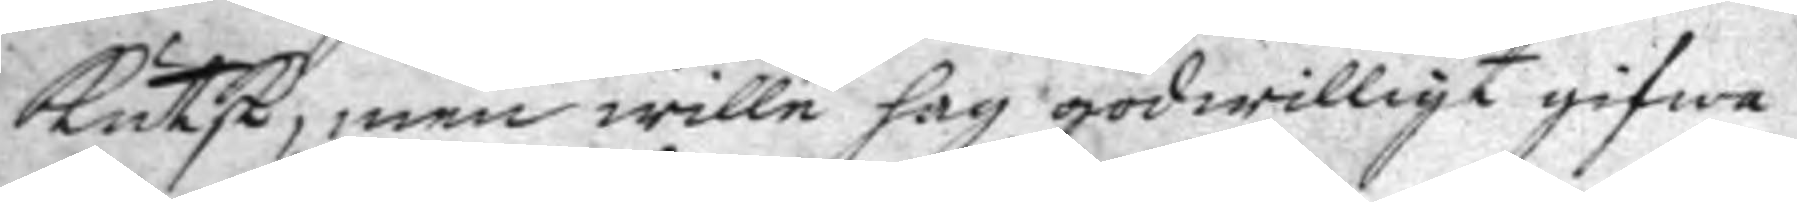kutsk, men wille hag godwilligt gifwa
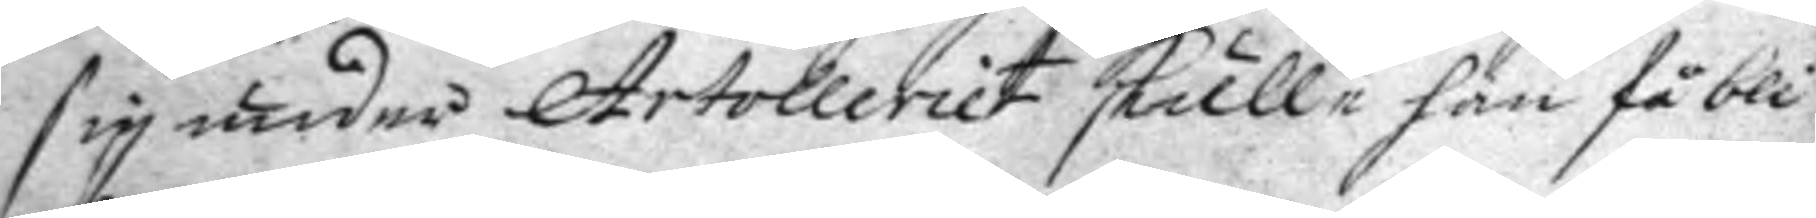sig under Artolleriet skulle han få bli
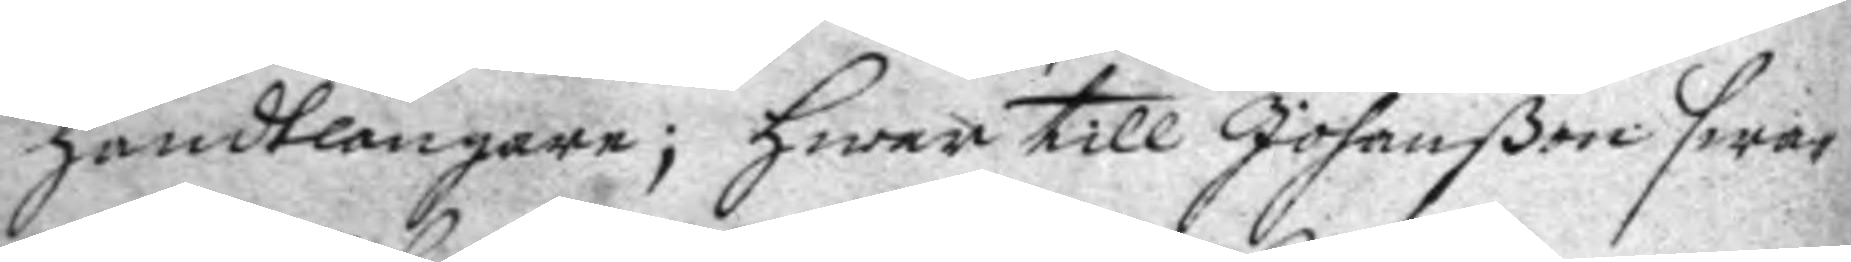handtlangare; hwar till Johanßon swar¬
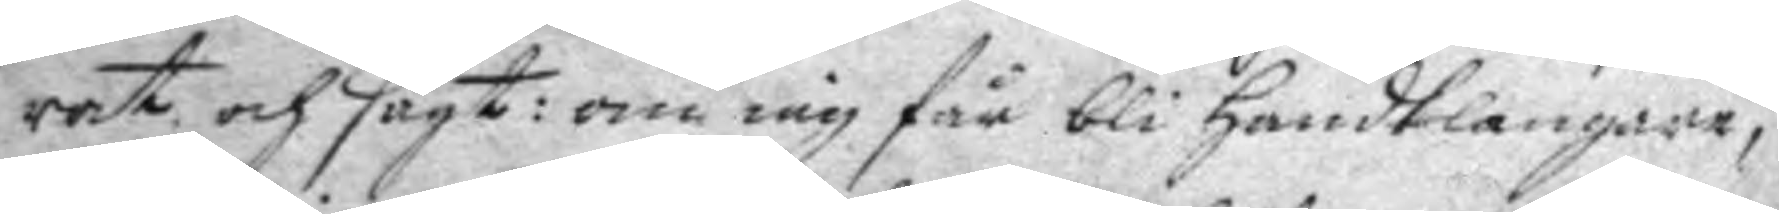rat och sagt: om iag får bli handtlagnare,
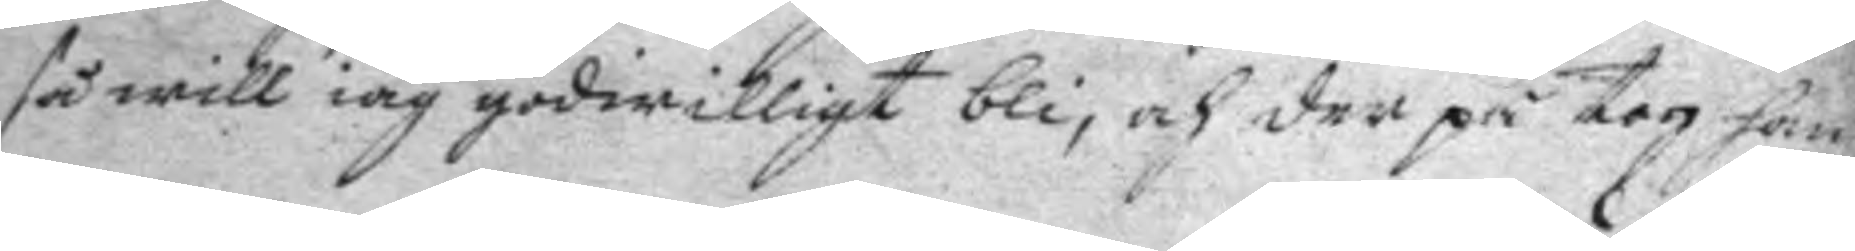så will iag godwilligt bli; och der på tog han
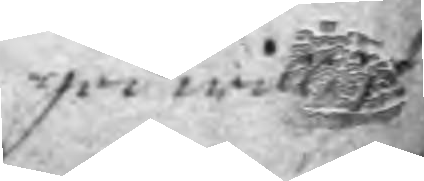godwilligt
